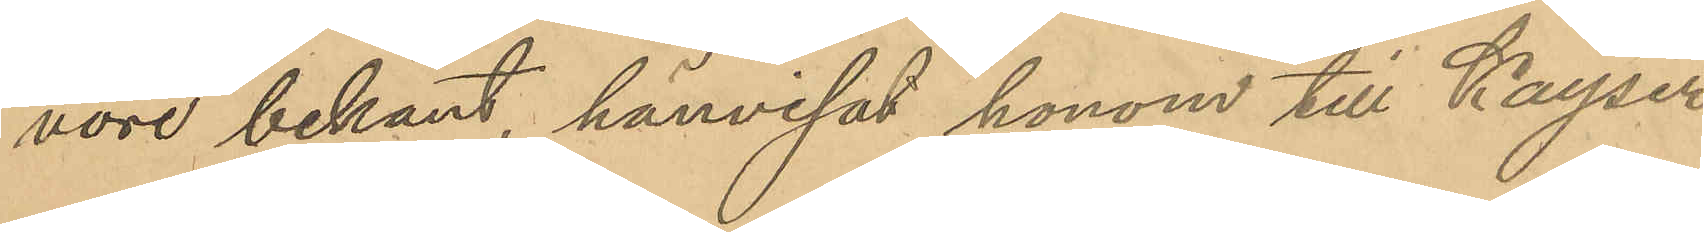vore bekant, hänvisat honom till Kayser
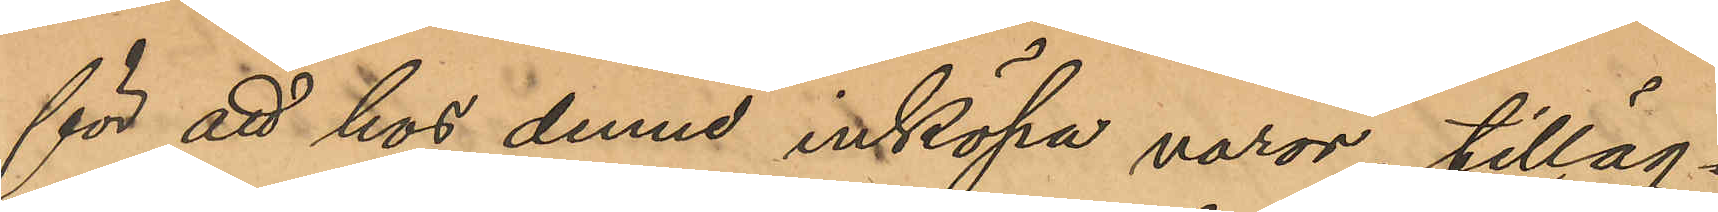för att hos denne inköpa varor; tilläg¬
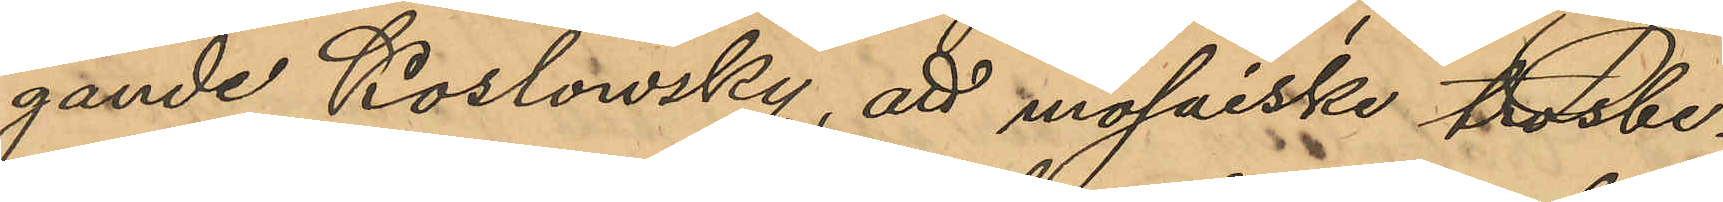gande Koslowsky, att mosaiske trosbe¬
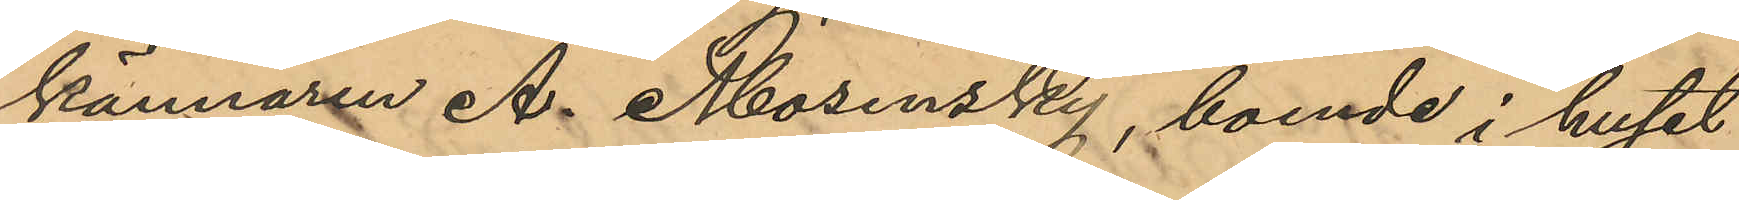kännaren A. Mosensky, boende i huset
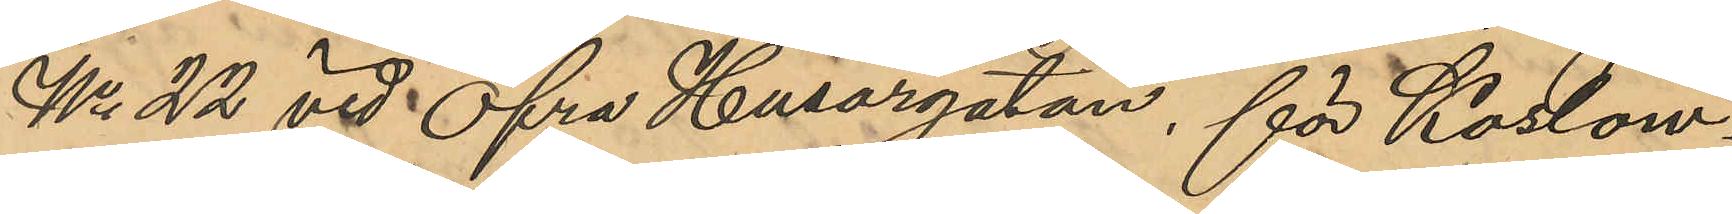No 22 vid Öfra Husargatan, för Koslow¬
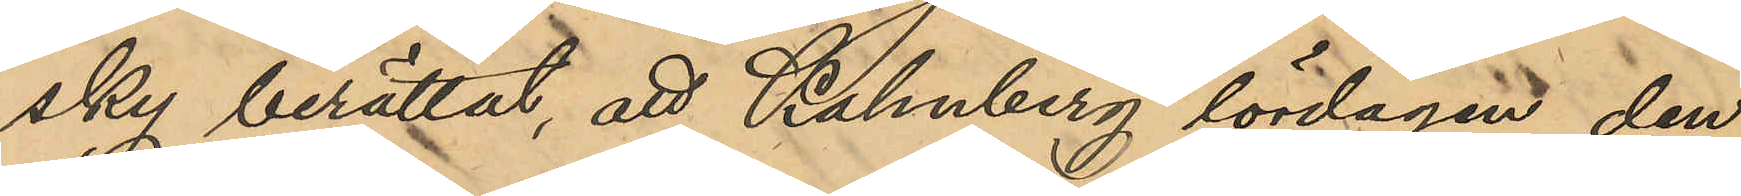sky berättat, att Kahnberg lördagen den
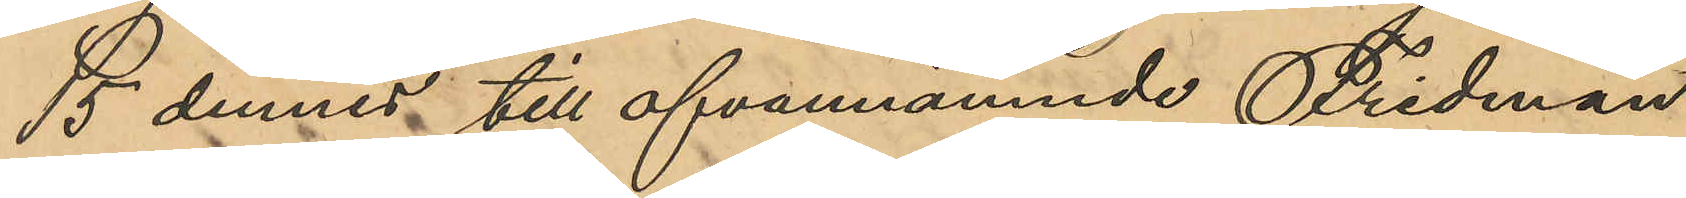15 dennes till ofvannämnde Fridman
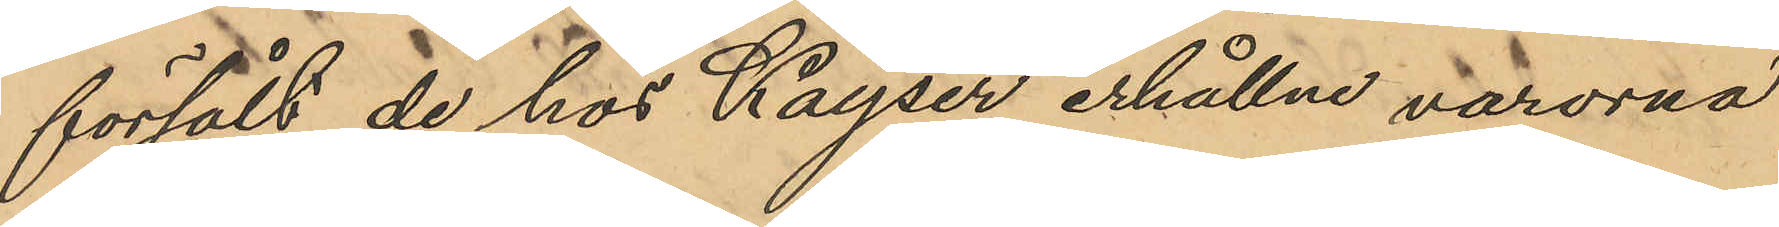försålt de hos Kayser erhållne varorna
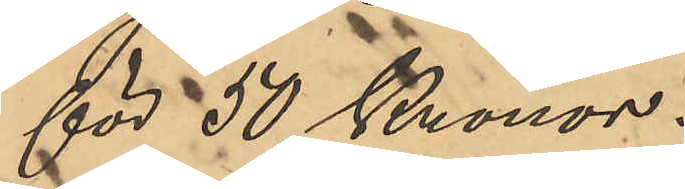för 50 Kronor.
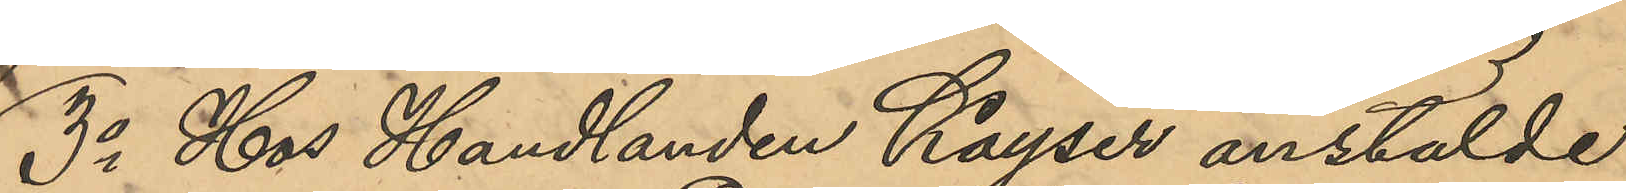3o Hos Handlanden Kayser anstälde
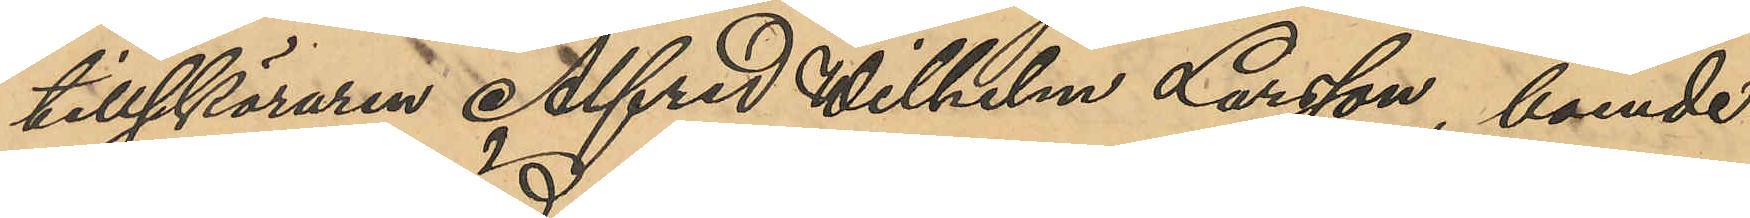tillskäraren Alfred Wilhelm Larsson, boende
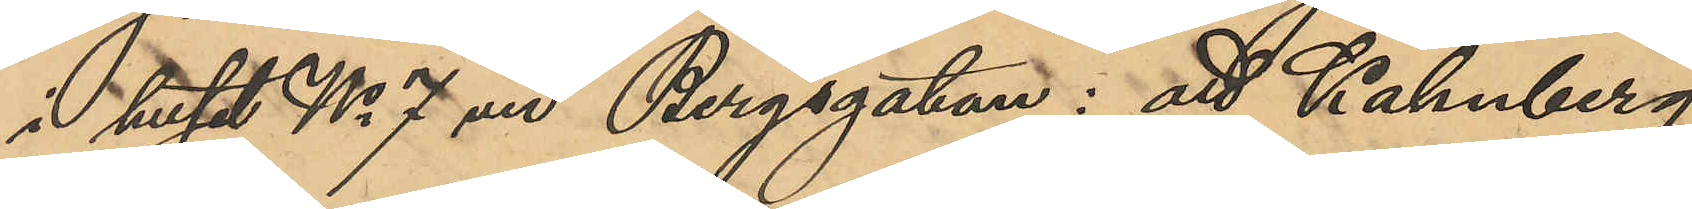i huset No 7 vid Bergsgatan: att Kahnberg
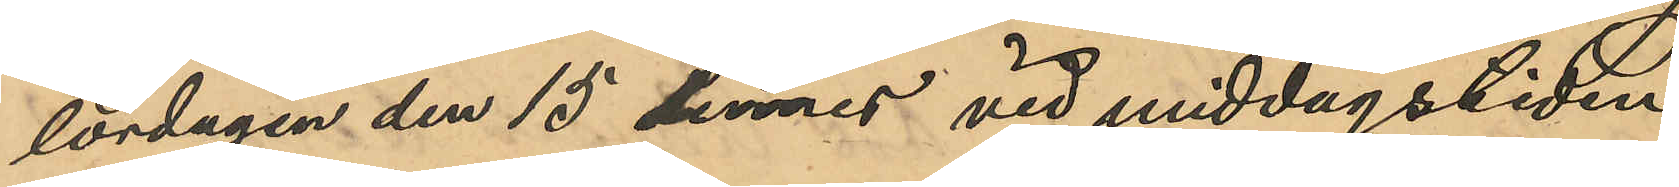lördagen den 15 dennes vid middagstiden
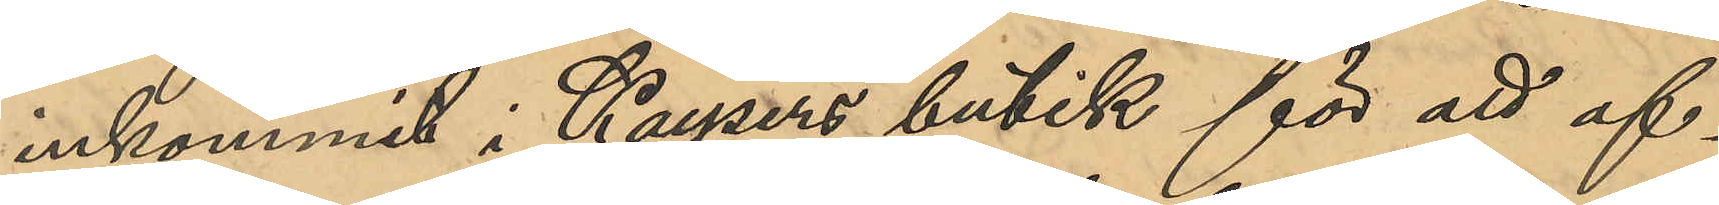inkommit i Kaysers butik för att af¬
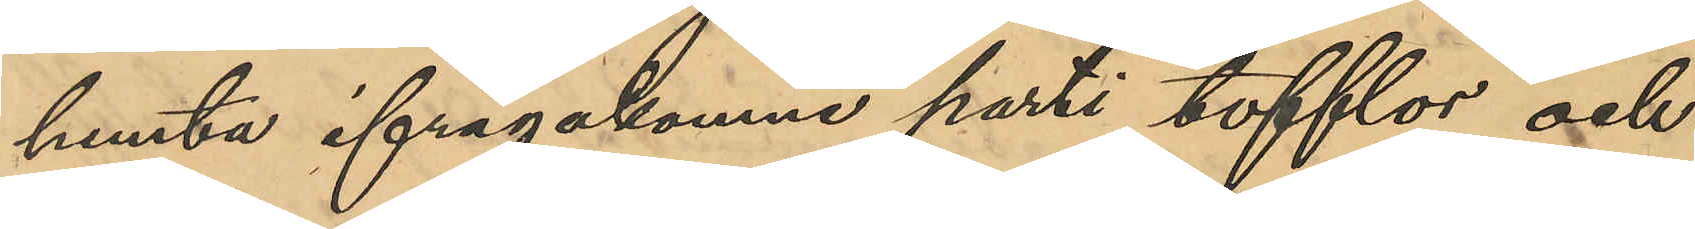hemta ifrågakomne parti tofflor och
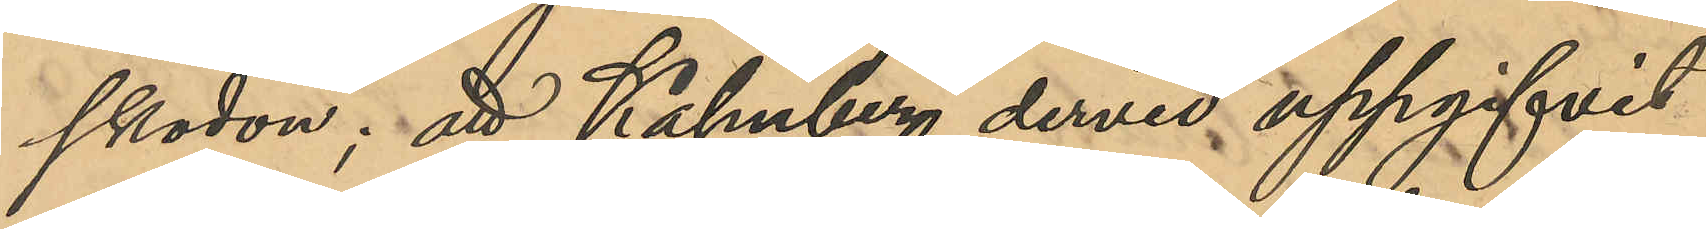skodon; att Kahnberg dervid uppgifvit
